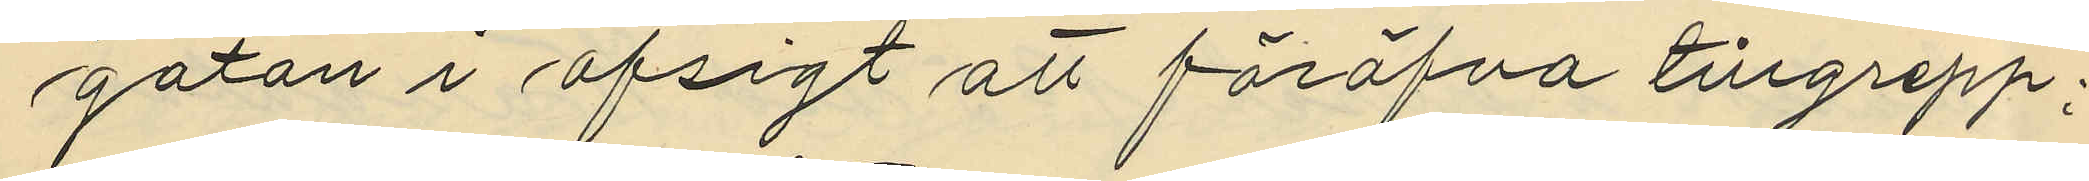gatan i afsigt att föröfva tillgrepp;
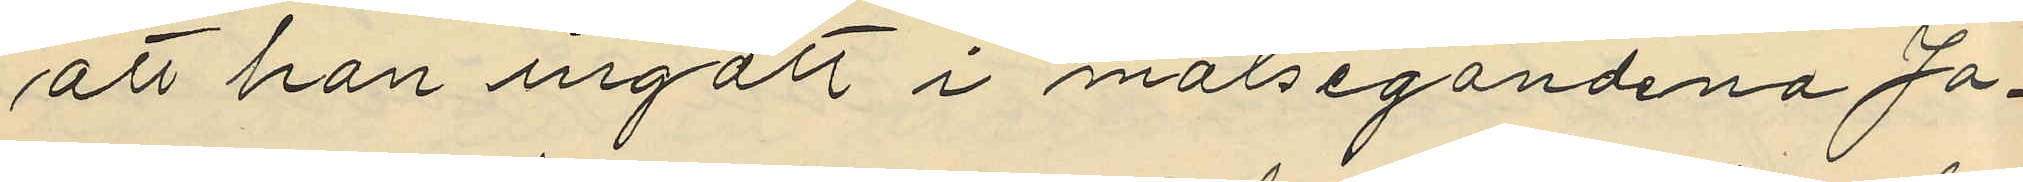att han ingått i målsegandena Jo¬
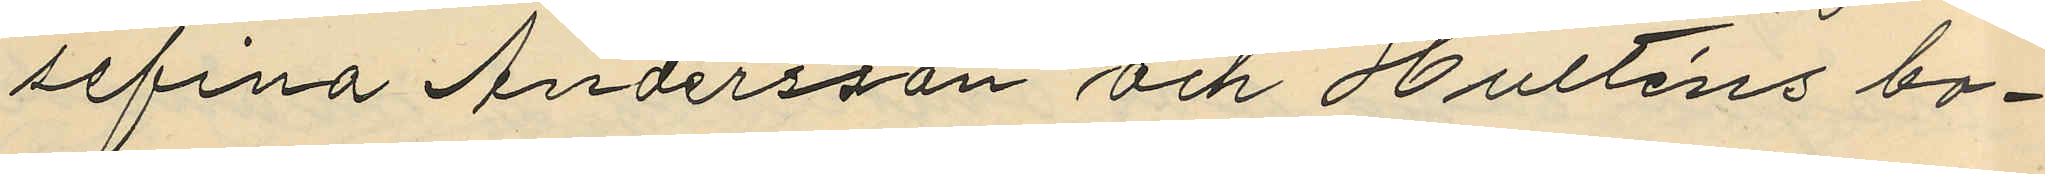sefina Andersson och Hulténs bo¬
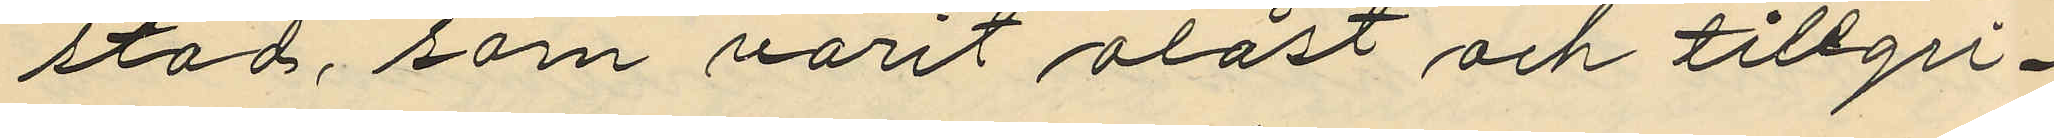stad, som varit olåst och tillgri¬
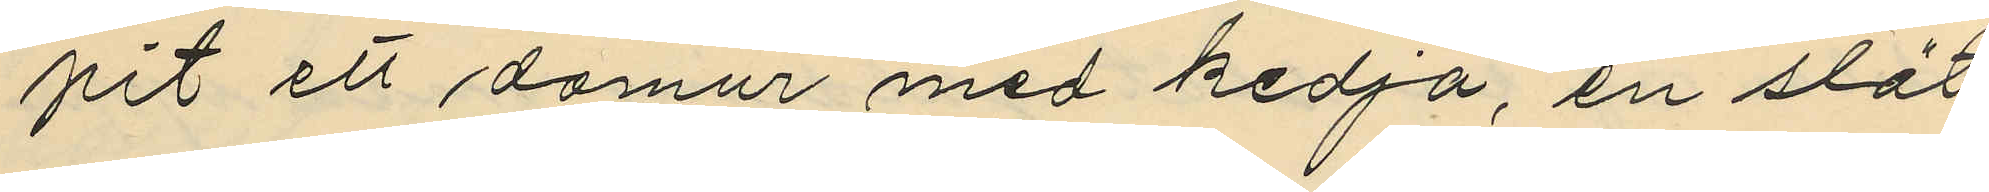pit ett damur med kedja, en slät
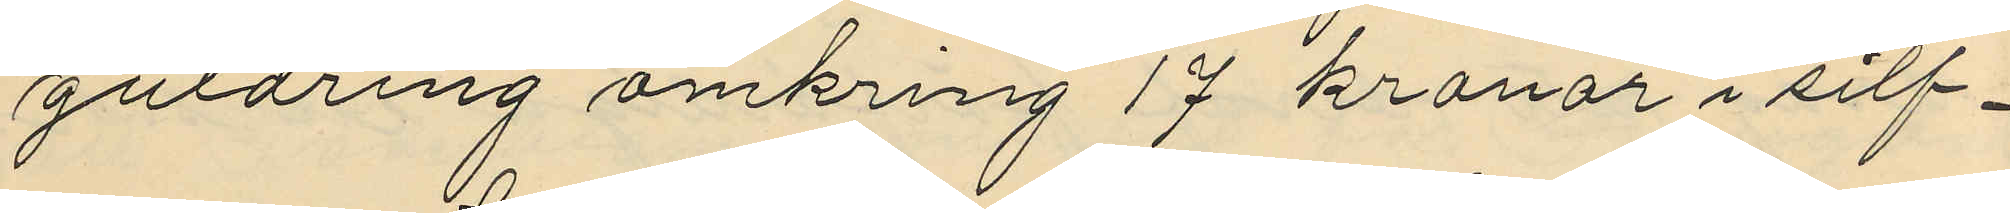guldring omkring 17 kronor i silf¬
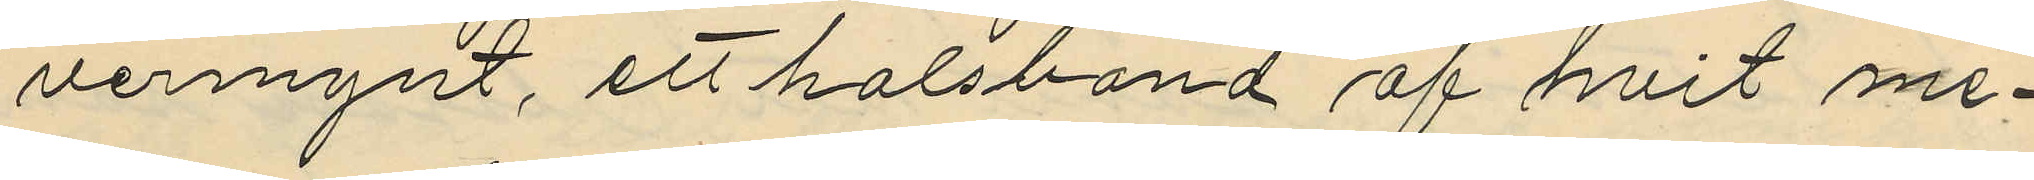vermynt, ett halsband af hvit me¬
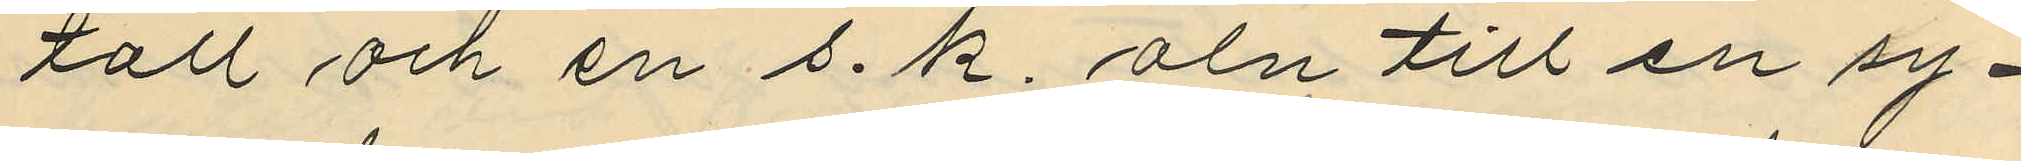tall och en s.k. aln till en sy¬
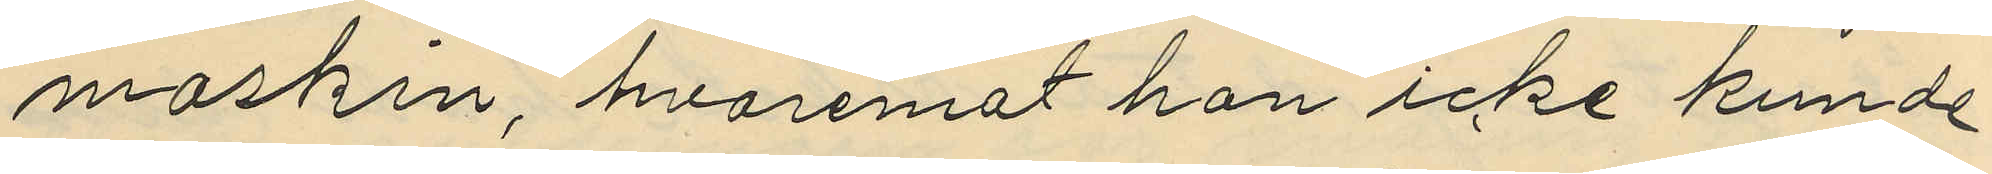maskin, hvaremot han icke kunde
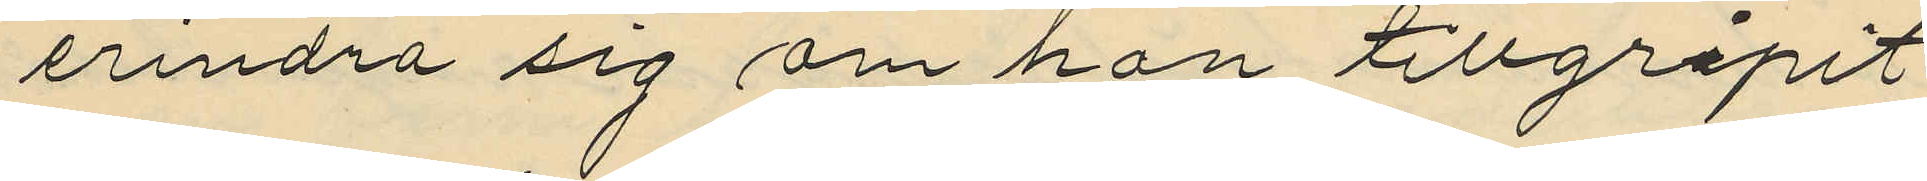erindra sig om han tillgripit
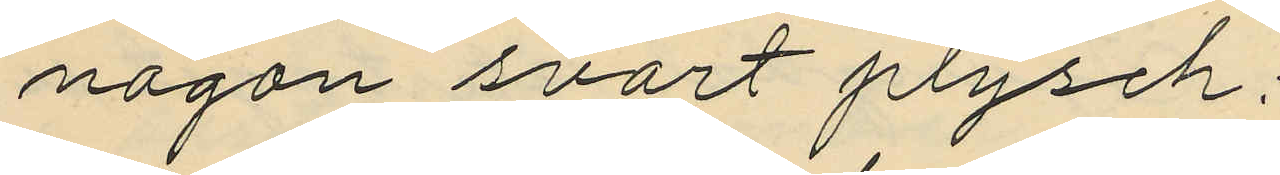någon svart plysch;
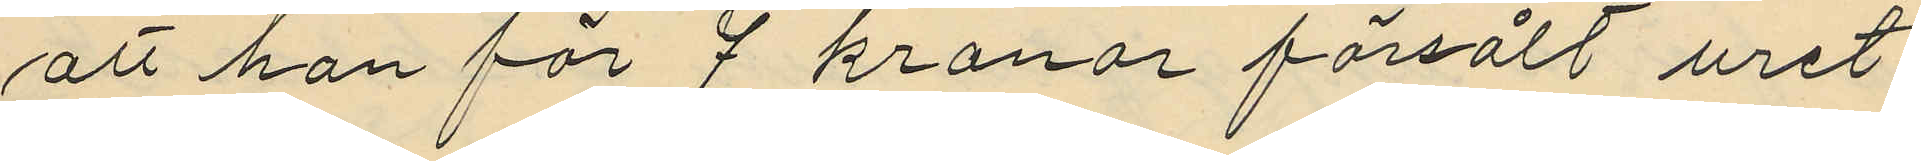att han för 7 kronor försålt uret
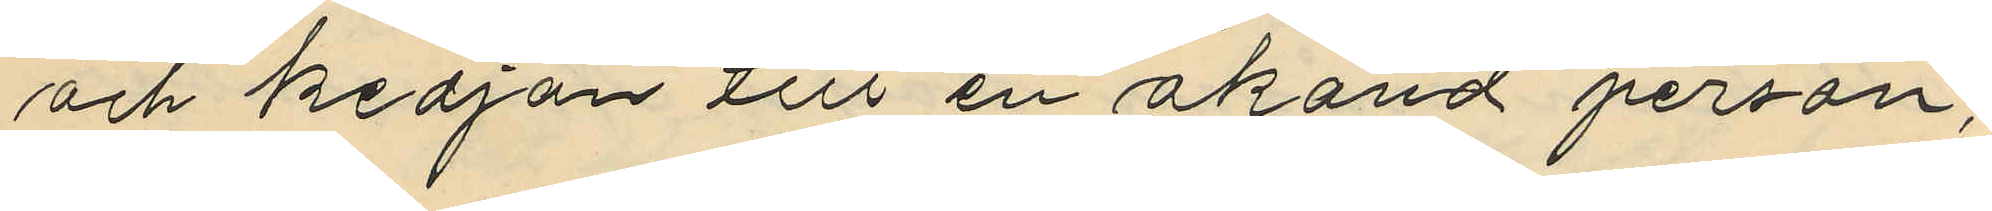och kedjan till en okänd person;
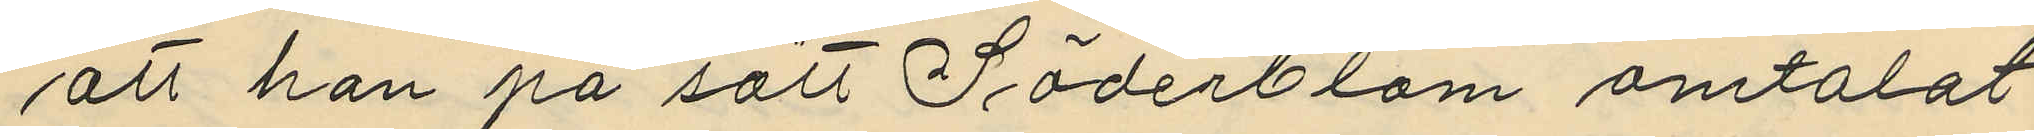att han på sätt Söderblom omtalat
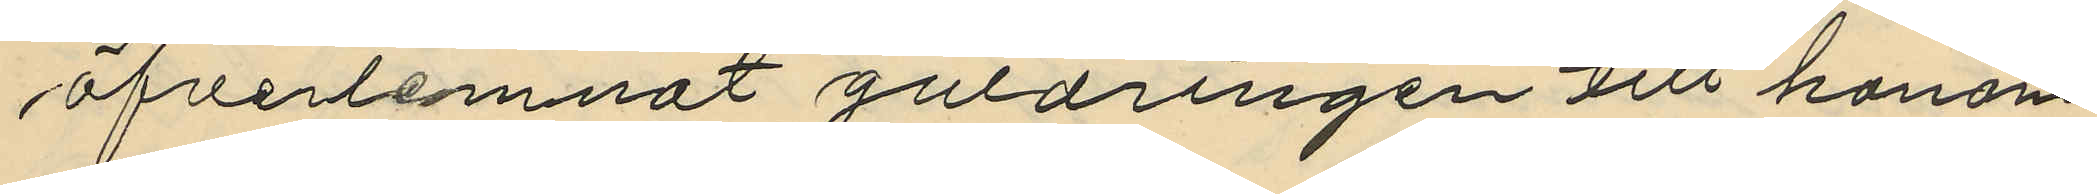öfverlemnat guldringen till honom
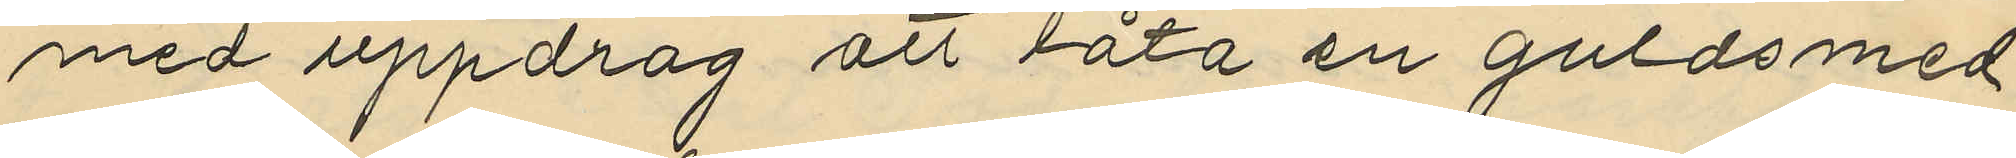med uppdrag att låta en guldsmed
